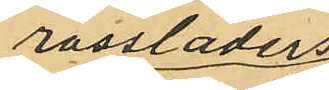rossläders
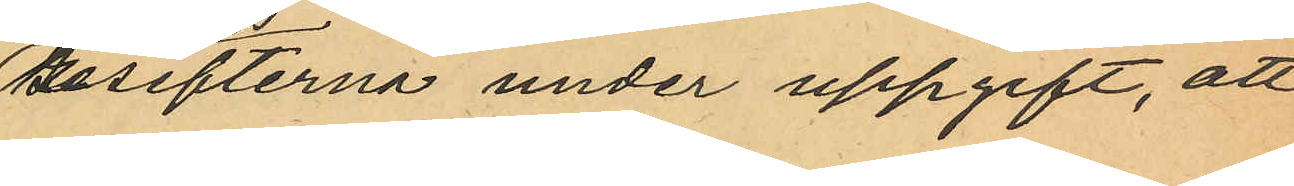resefterna under uppgift, att
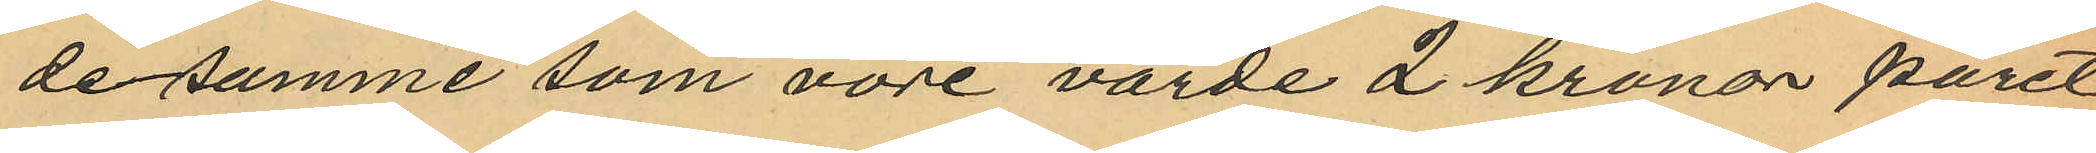desamme som vore värde 2 kronor paret,
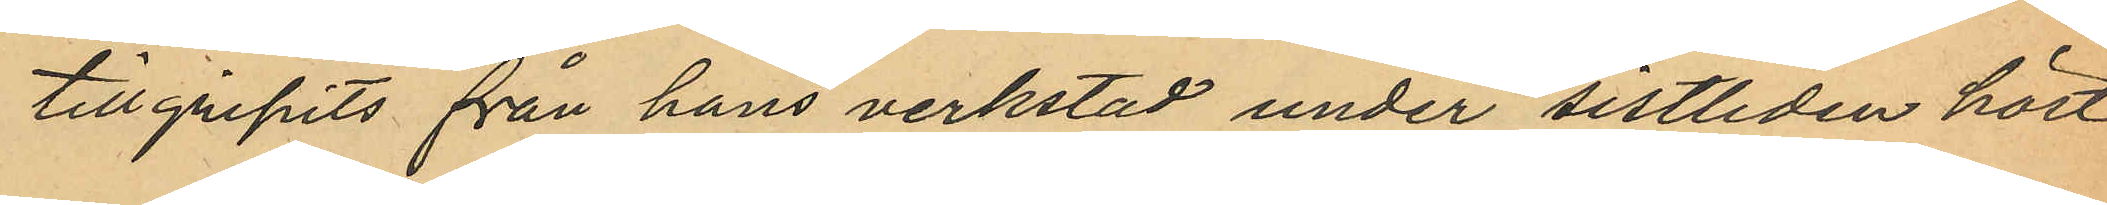tillgripits från hans verkstad under sistlidne höst
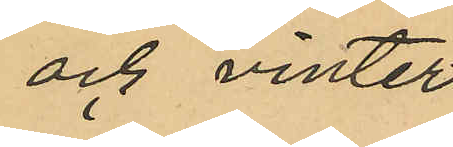och vinter.
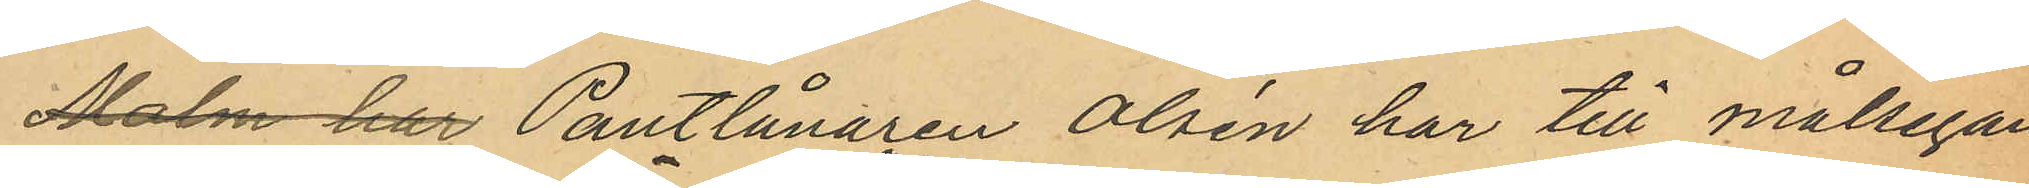Malm har Pantlånaren Olsen har till målsegan¬
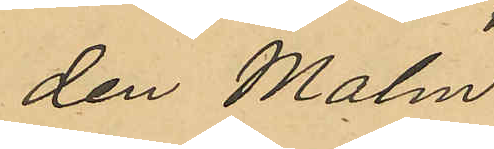den Malm 
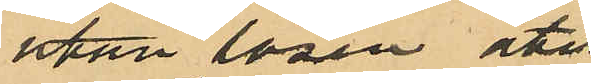utan lösen åter¬
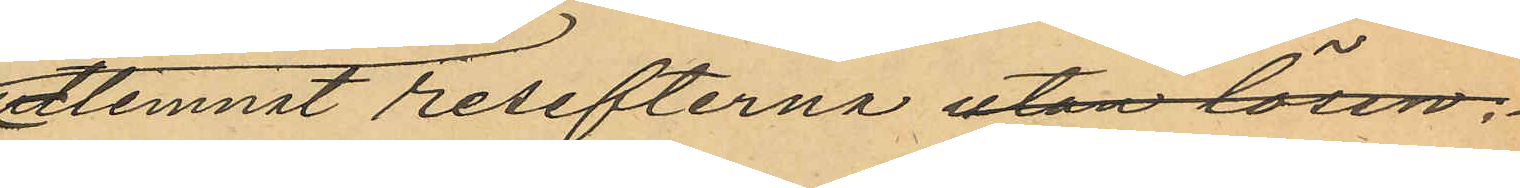lemnat resefterna utan lösen.
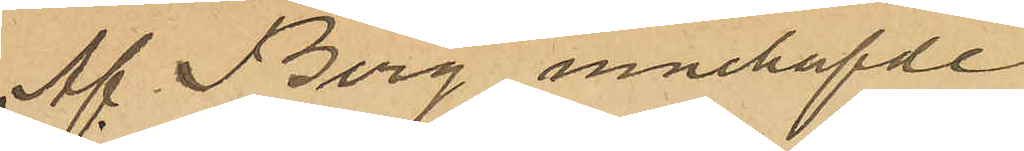af Berg innehafde
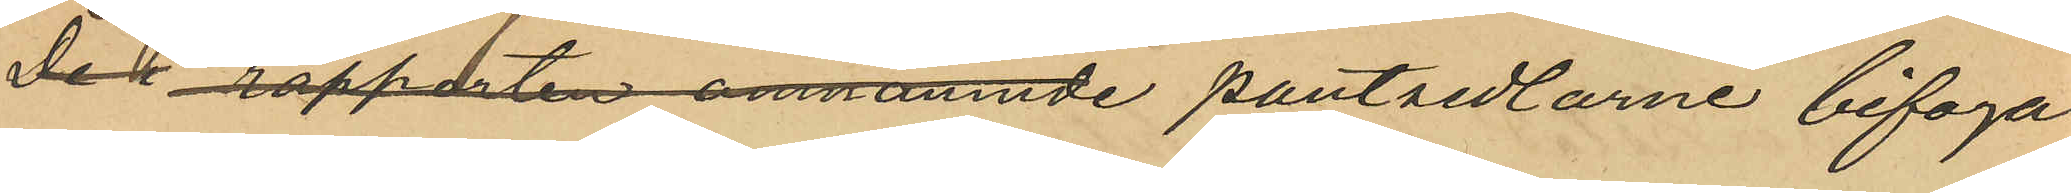De i rapporten omnämnde pantsedlarne bifogas.
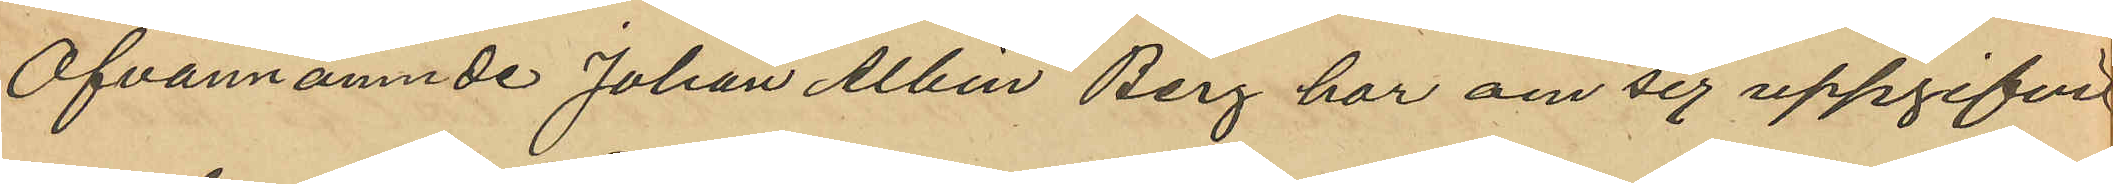Ofvannämnde Johan Albin Berg har om sig uppgifvit
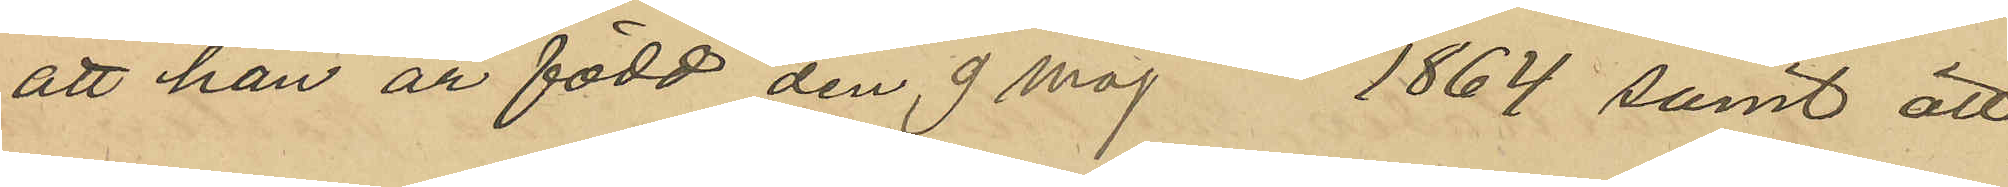att han är född den 9 maj 1864 samt att
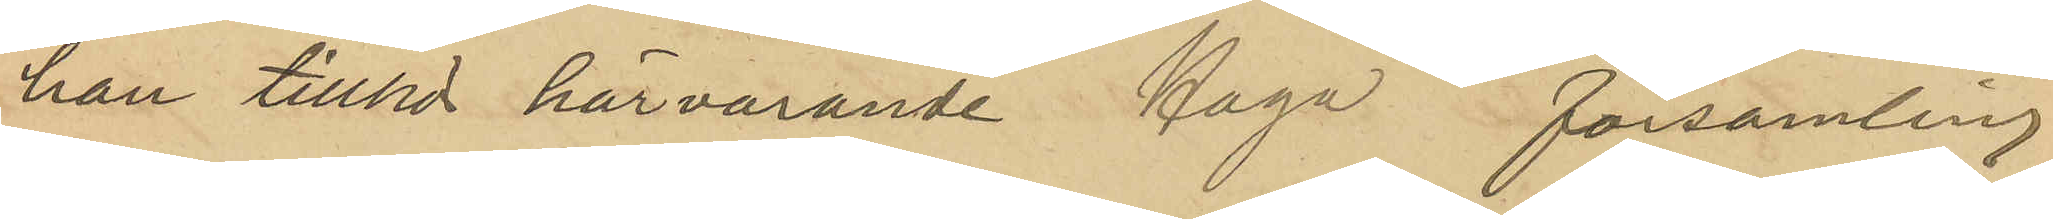han tillhör härvarande Haga församling.
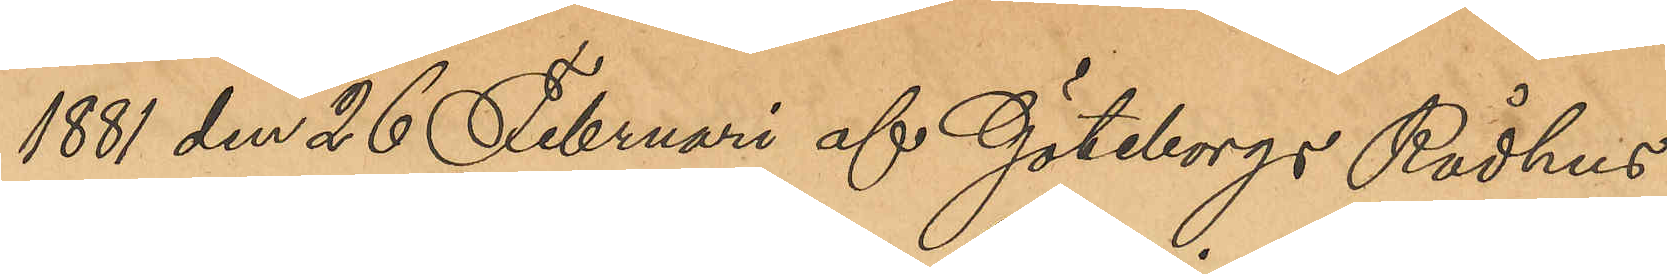1881 den 25 Februari af Göteborgs Rådhus¬
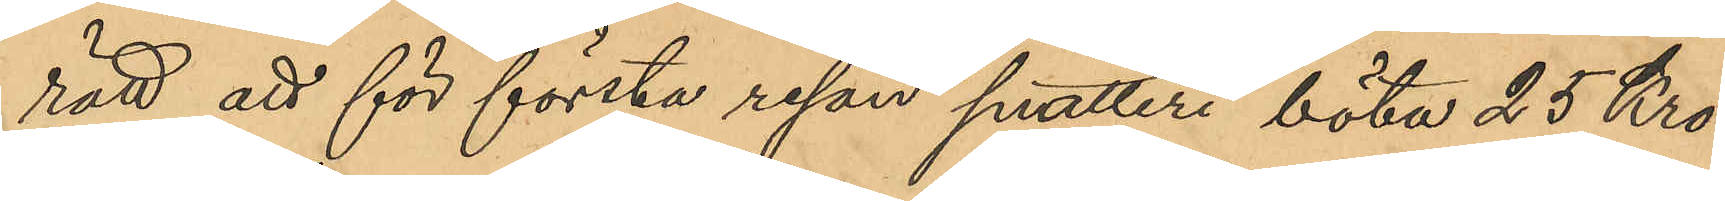rätt att för första resan snatteri böta 25 Kro¬
